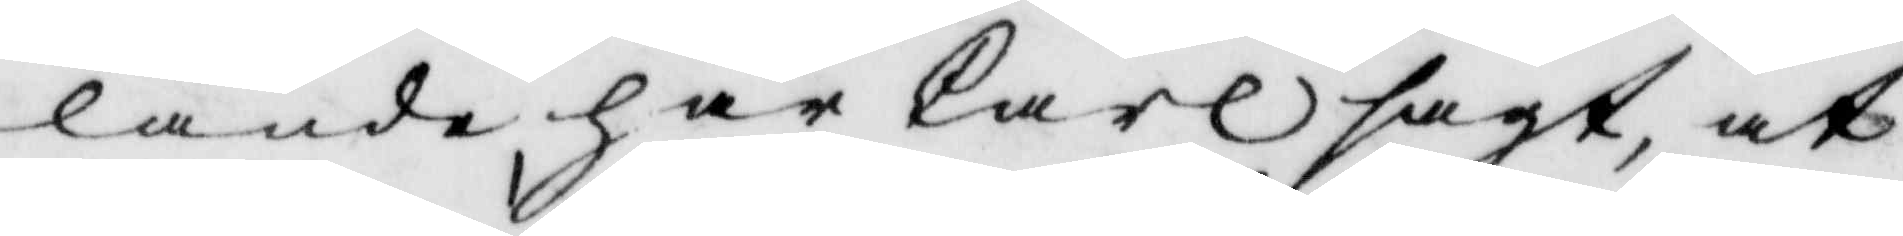lande har Carl sagt, at
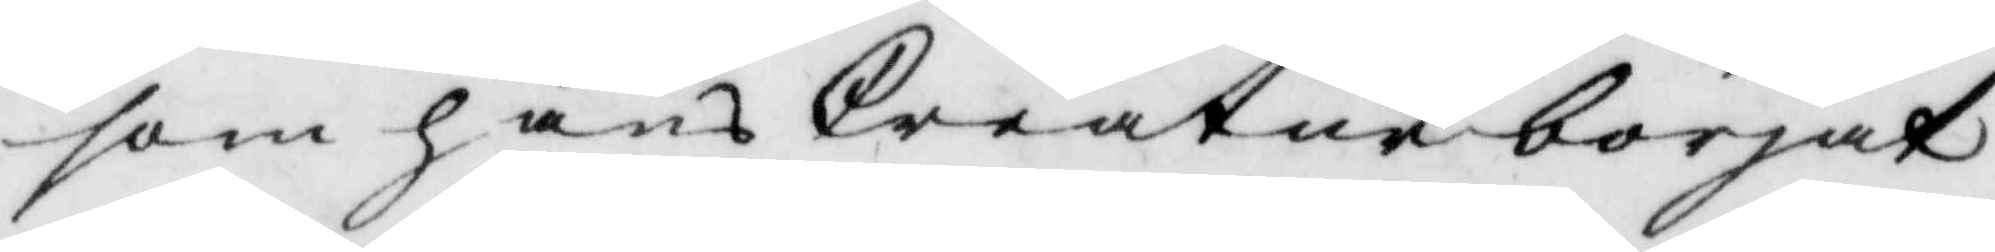som hans Creatur börjat
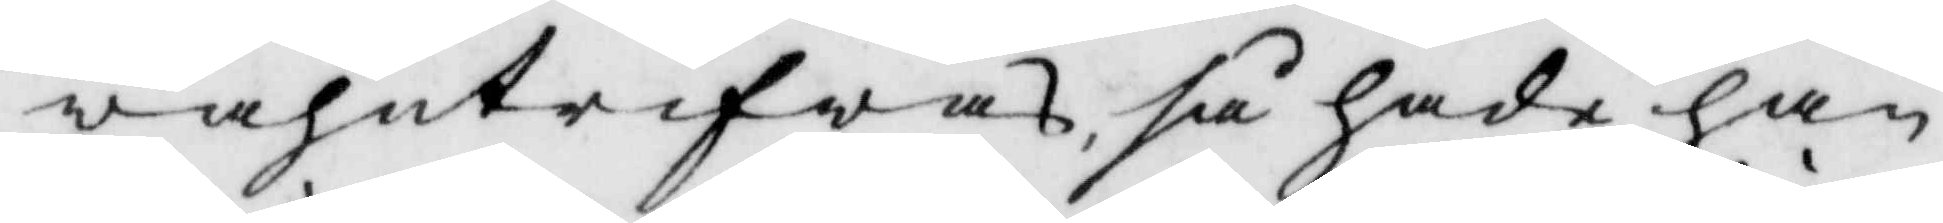wahntrifwas så hade han
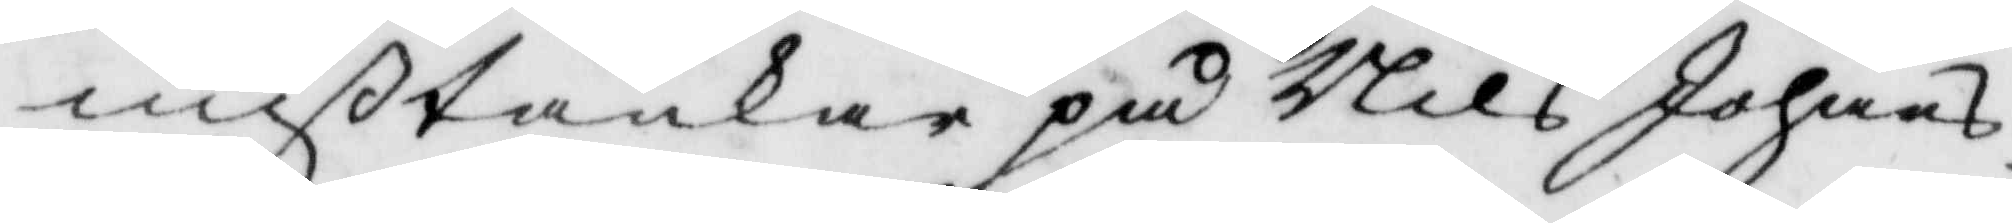mißtankar på Nils Johans¬
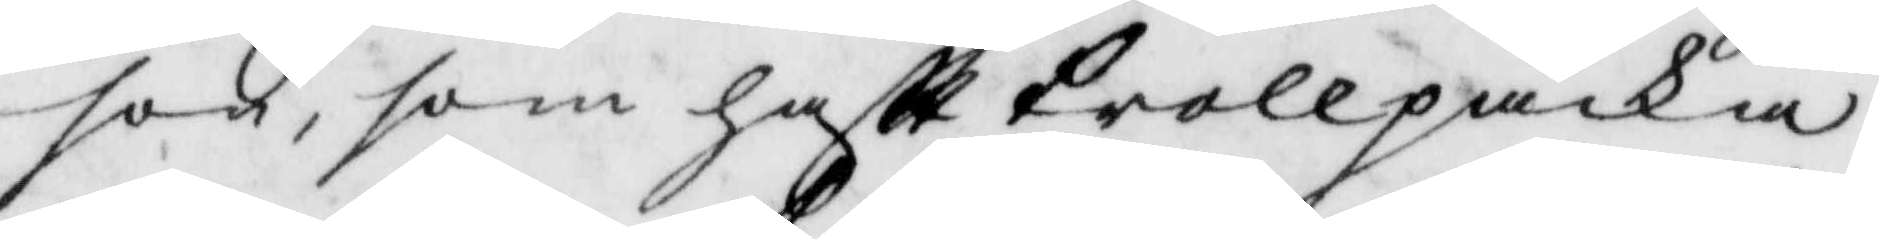son, som haftt Trollpacka
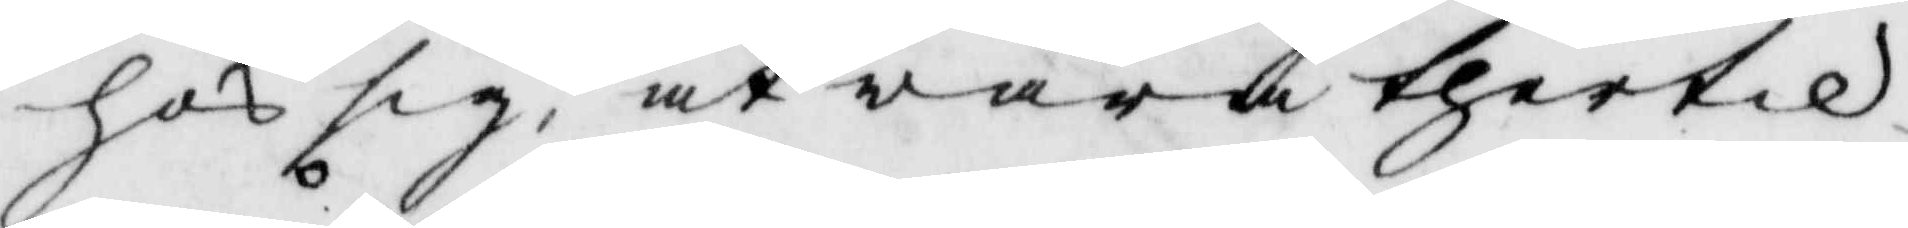hos sig, at wara thertil
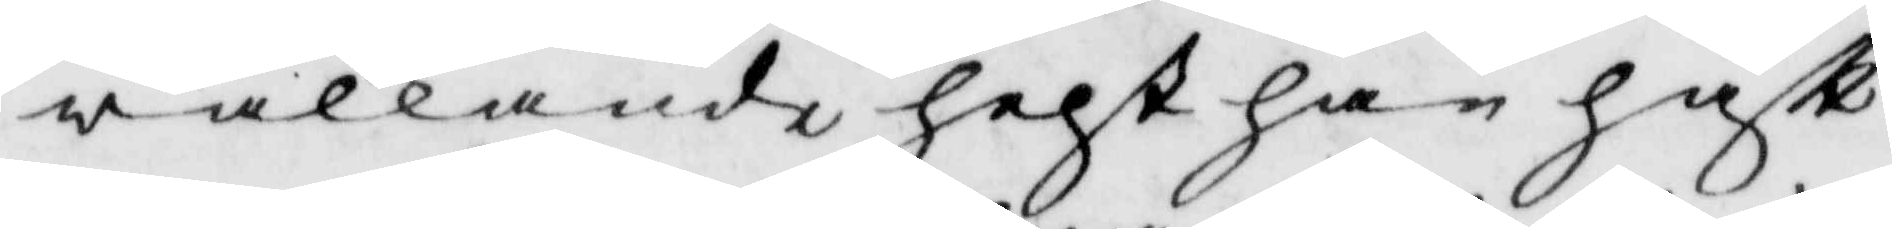wållande helst han haftt
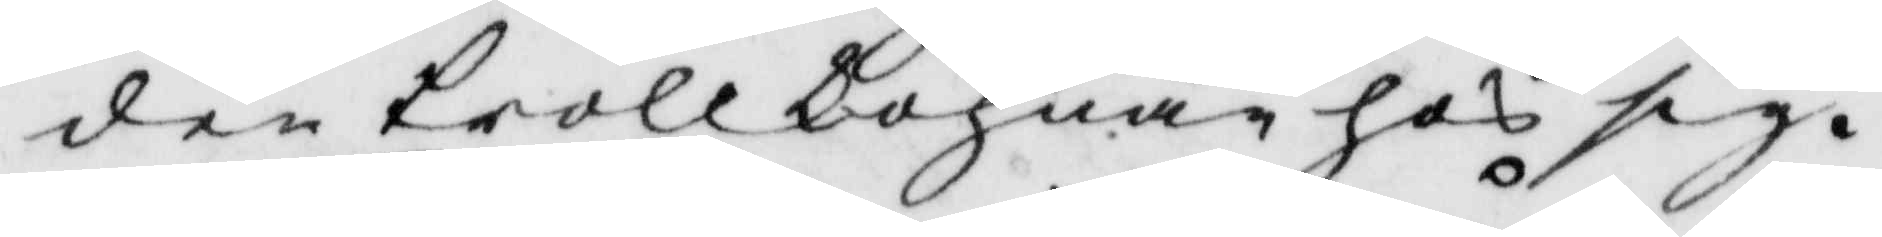den Trollkohnan hos sig.
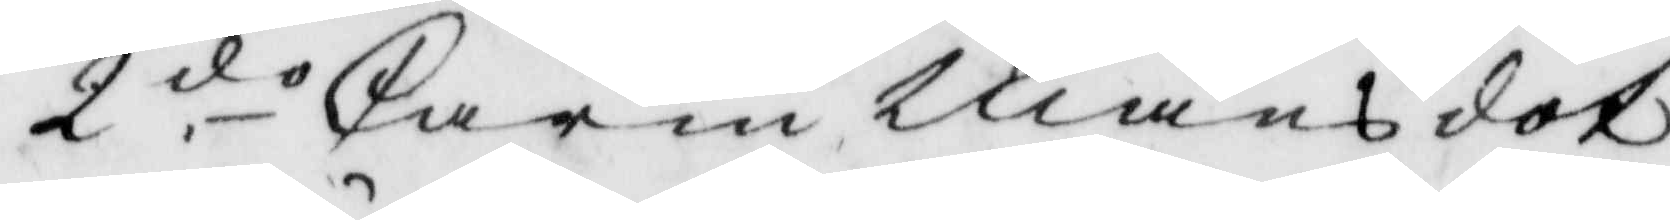2.do karin Månsdot¬
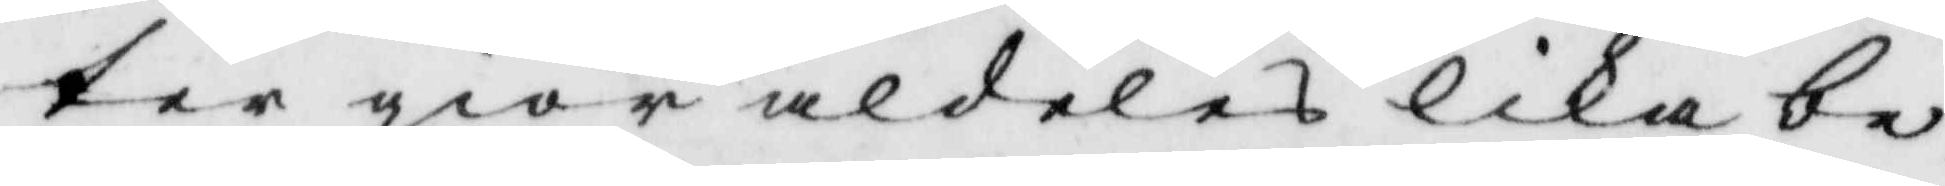ter giör aldeles lika be¬
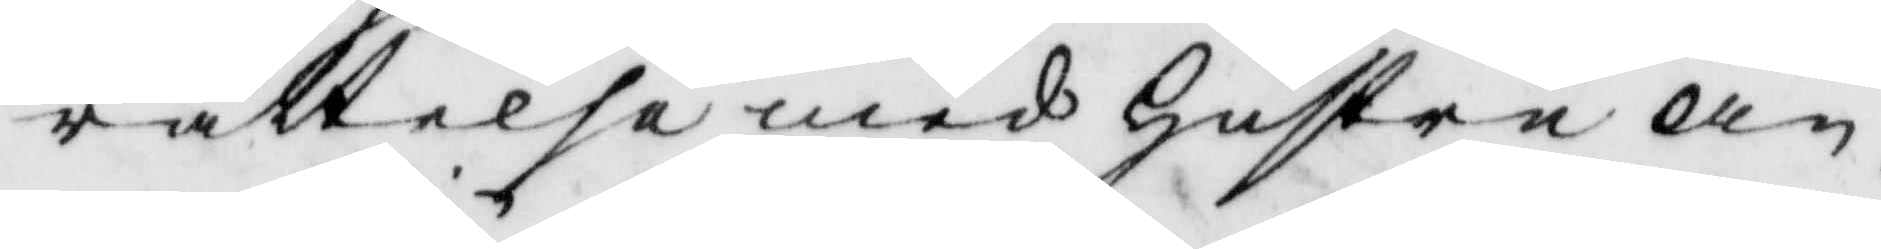rättelse med hustru An¬
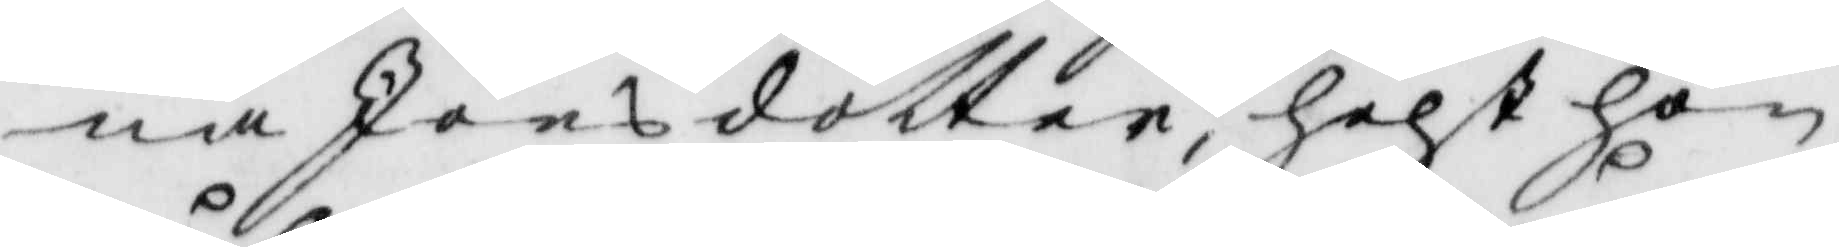na Jönsdotter, helst hon
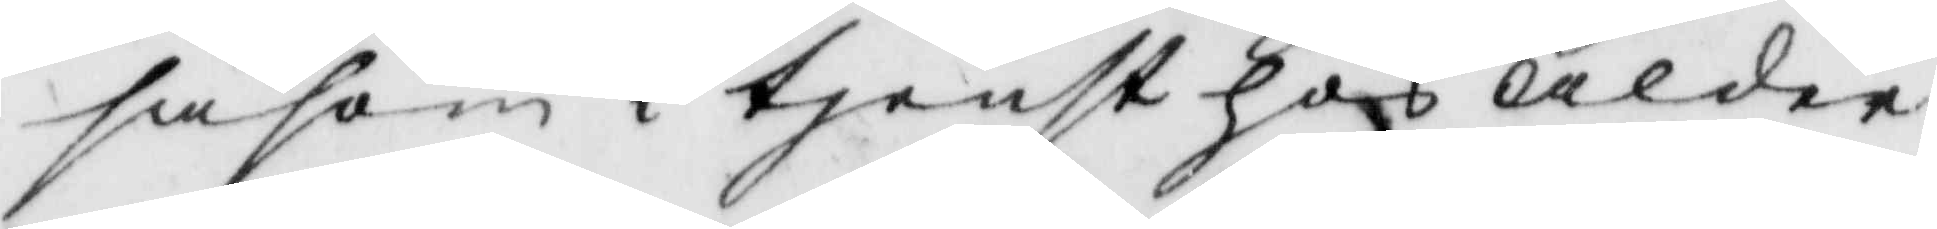såsom i tjenst hos Ålder¬
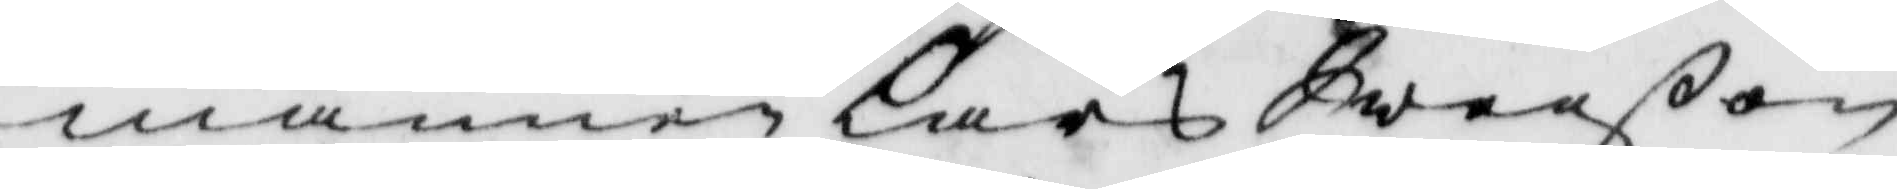mannen Lars Swenßon
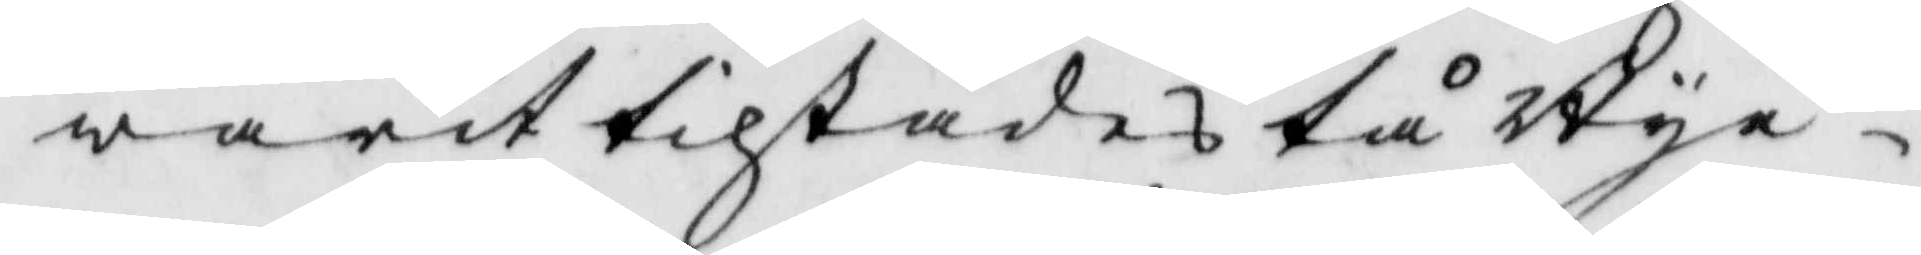warit tilstädes tå Bye¬
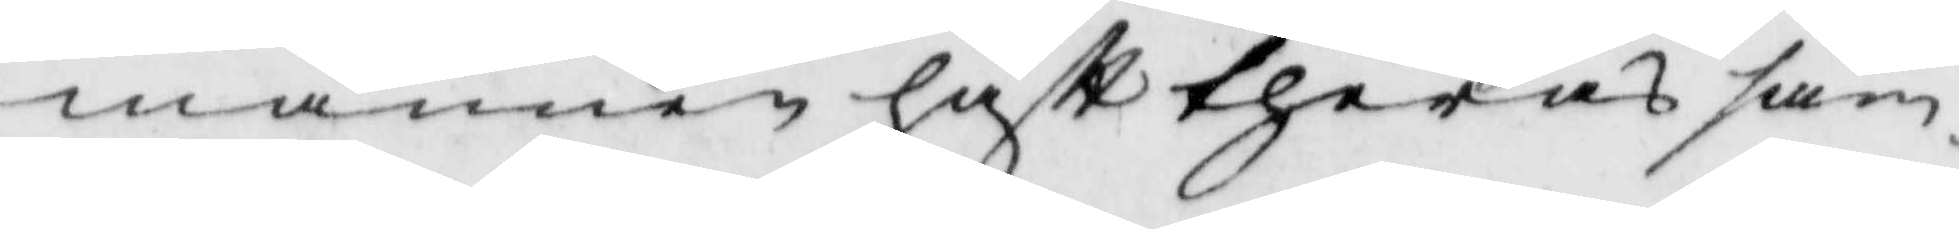männen haftt theras sam¬
